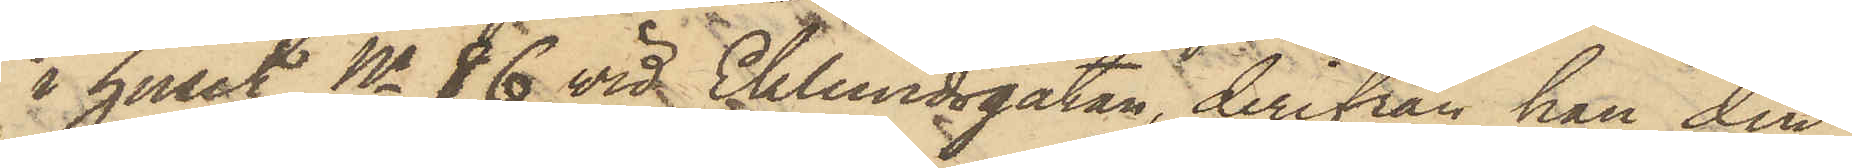i huset No 86 vid Ekelundsgatan, derifrån han den
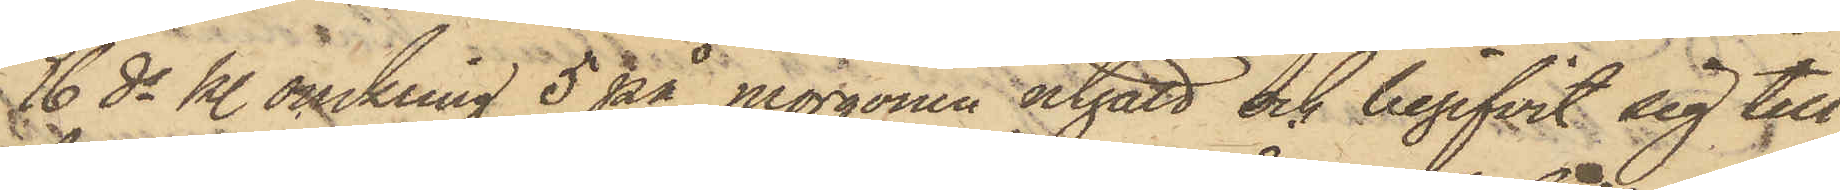16 ds kl. omkring 5 på morgonen utgått och begifvit sig till
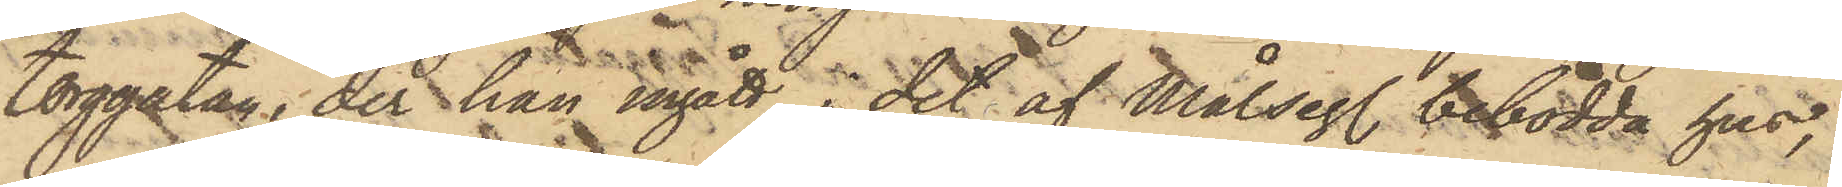Torggatan, der han ingått i det af Målseg. bebodda hus,
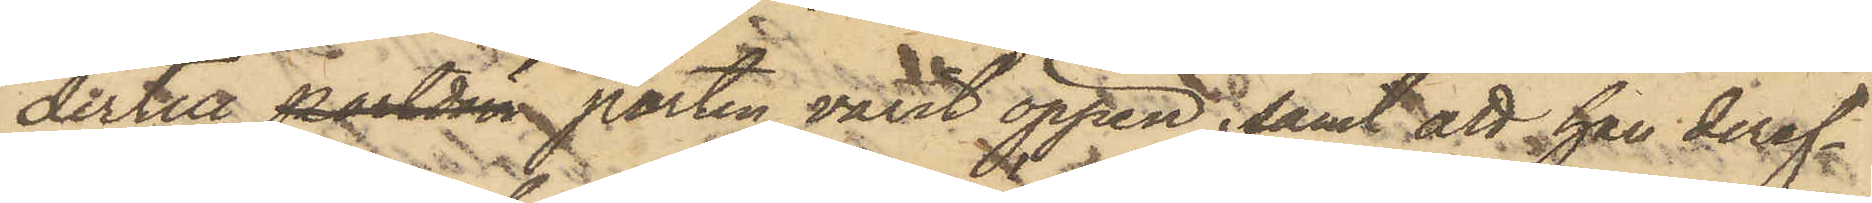dertill portdörr porten varit öppen; samt att han deref¬
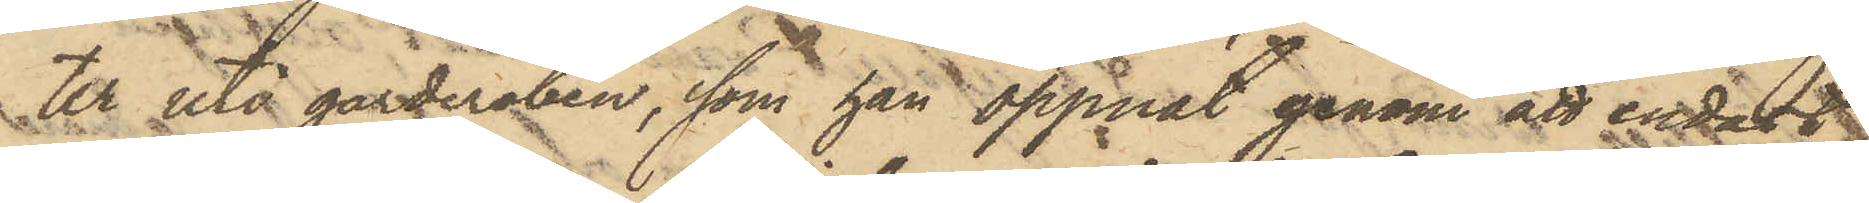ter uti garderoben, som han öppnat genom att endast
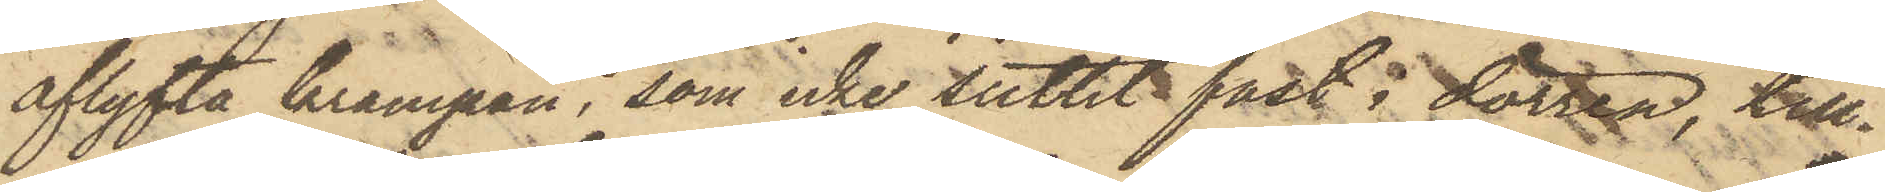aflyfta krampan, som icke suttit fast i dörren, till¬
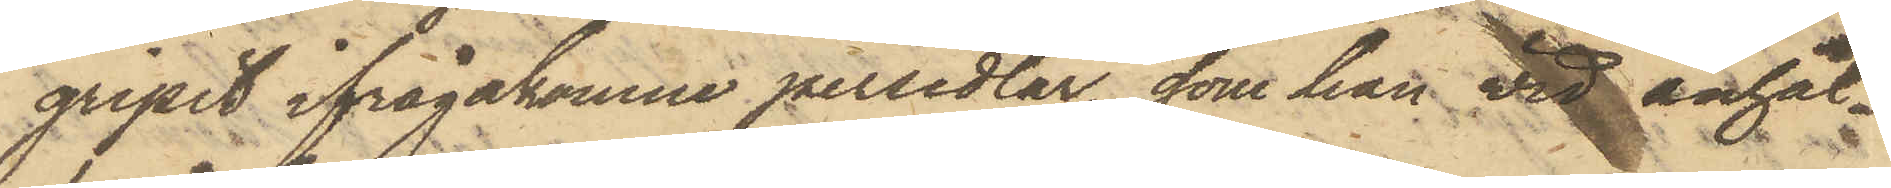gripit ifrågakomne persedlar, som han vid anhål¬
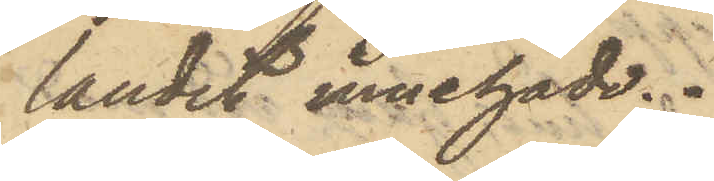landet innehade.
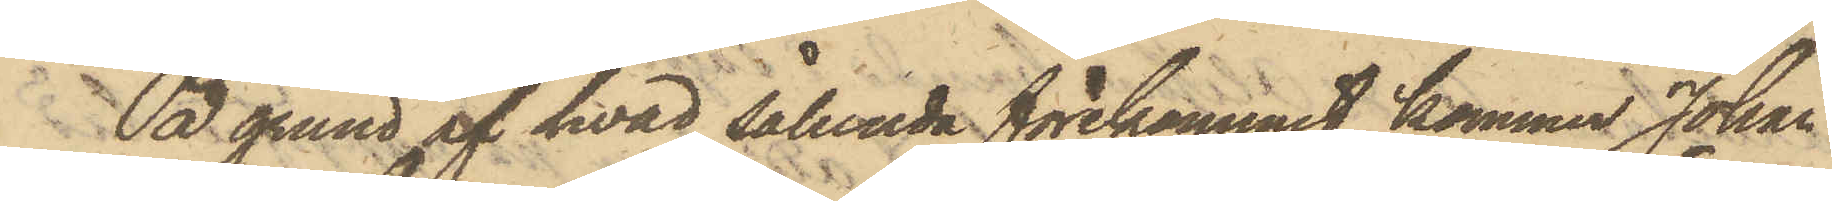På grund af hvad sålunda förekommit, kommer Johan
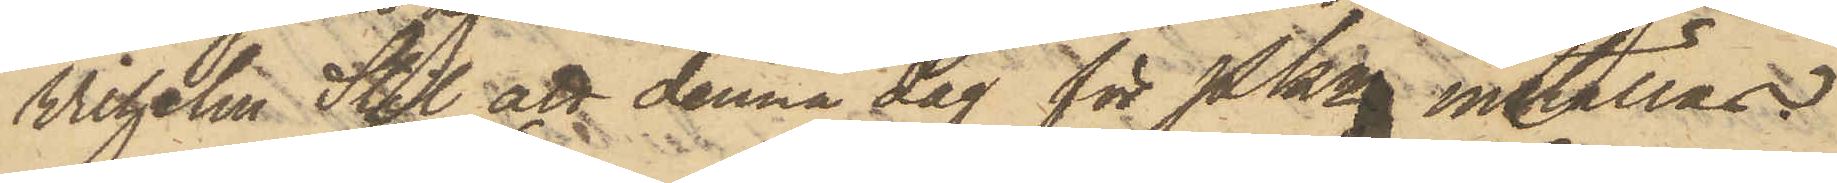Wilhelm Stil att denna dag för Pkn inställas.
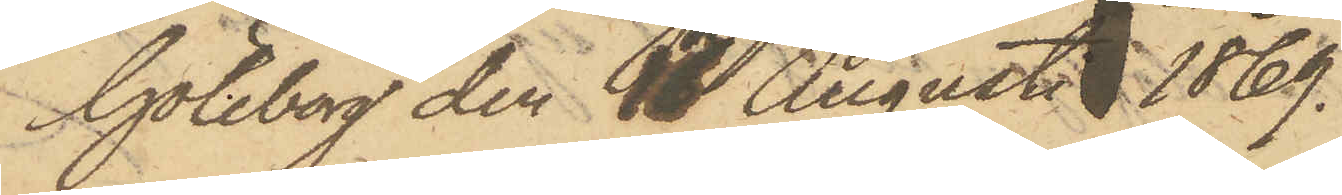Göteborg den 16 Augusti 1869.
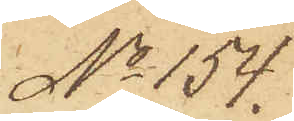No 154.
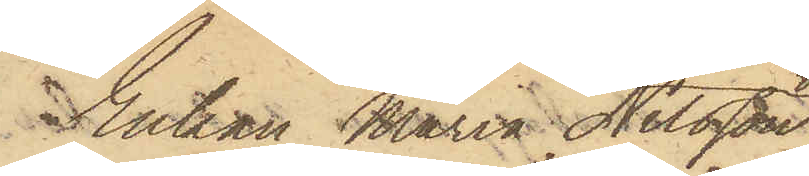Enkan Maria Nilsson
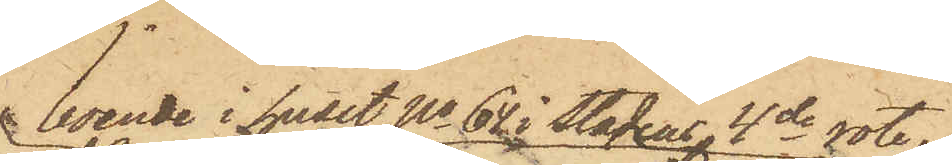boende i huset No 64 i Stadens 4de rote,
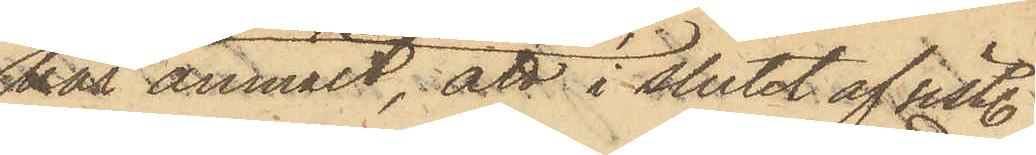har anmält, att i slutet af sist.
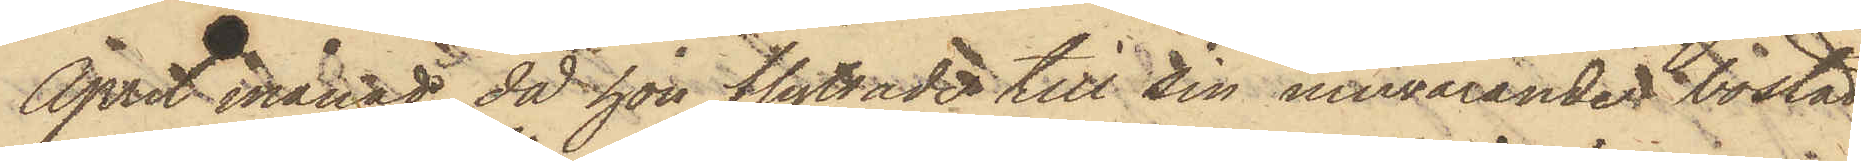April månad, då hon flyttade till sin nuvarande bostad,
